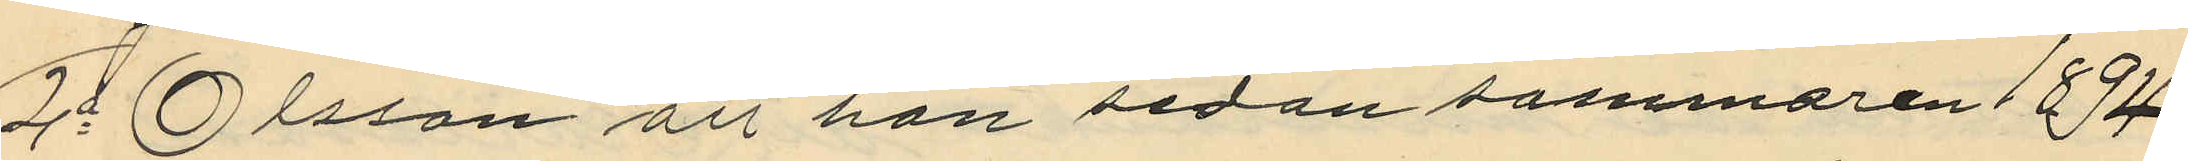2o Olsson att han sedan sommaren 1894
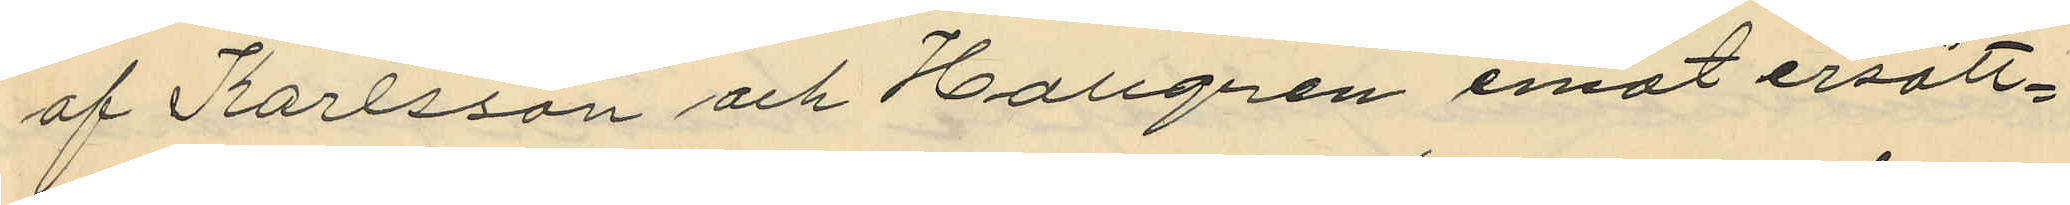af Karlsson och Hallgren emot ersätt¬
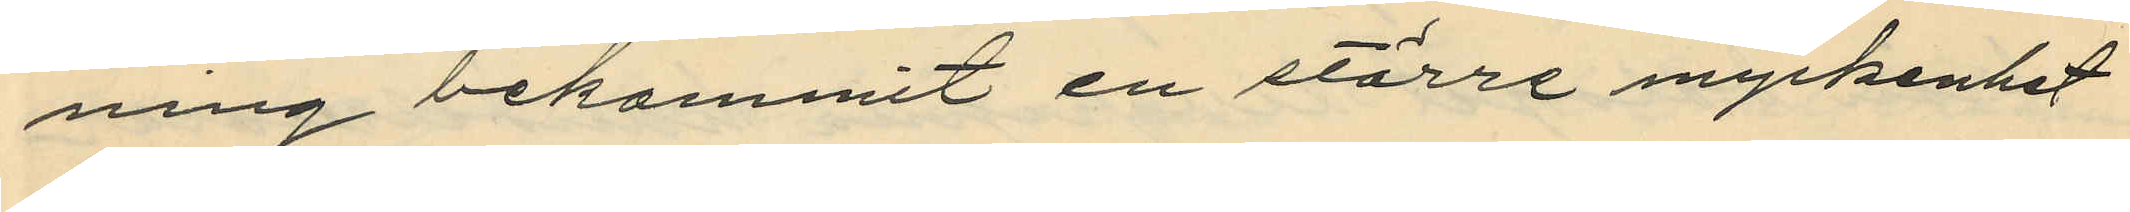ning bekommit en större myckenhet
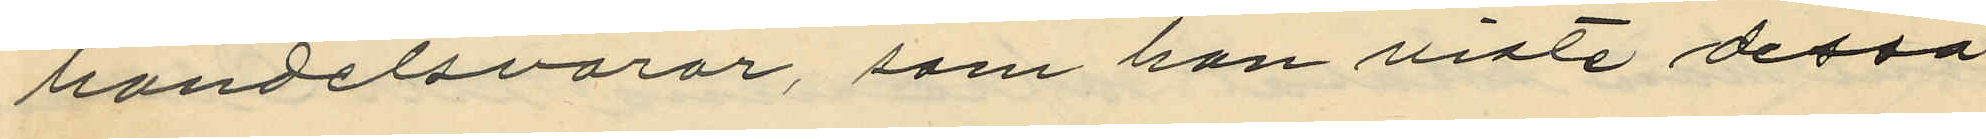händelsvaror, som han viste dessa
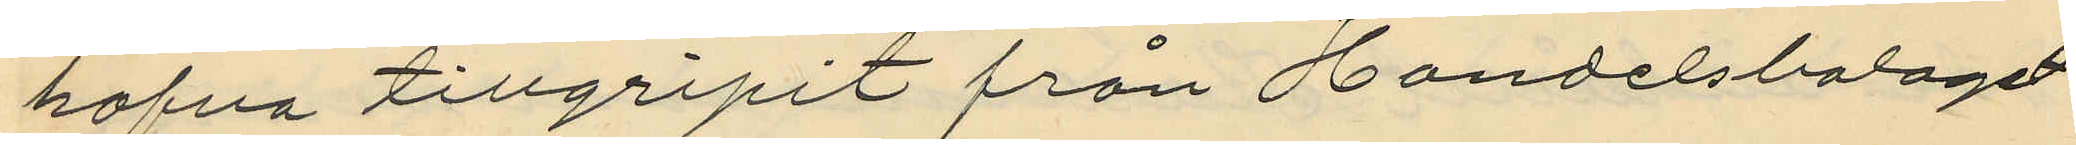hafva tillgripit från Handelsbolaget
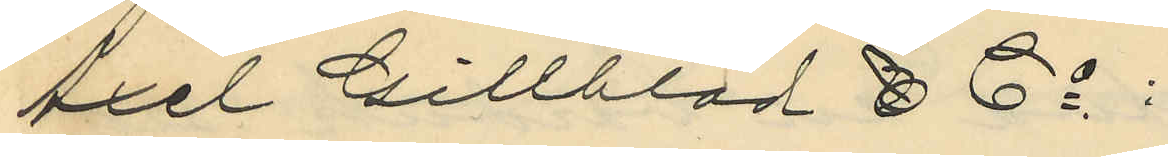Axel Gillblad & Co:
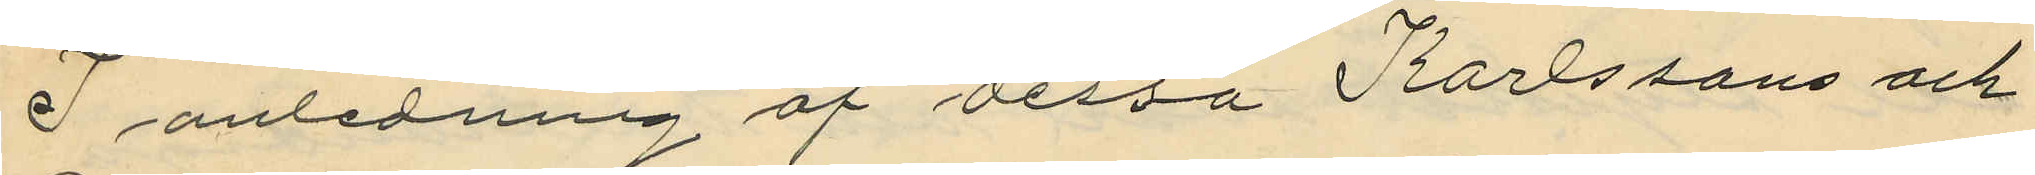I anledning af dessa Karlssons och
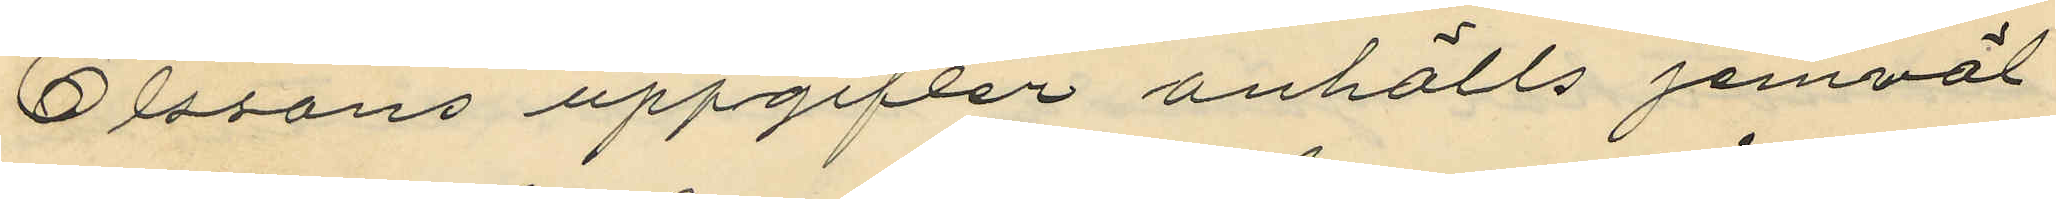Olssons uppgifter anhölls jemväl
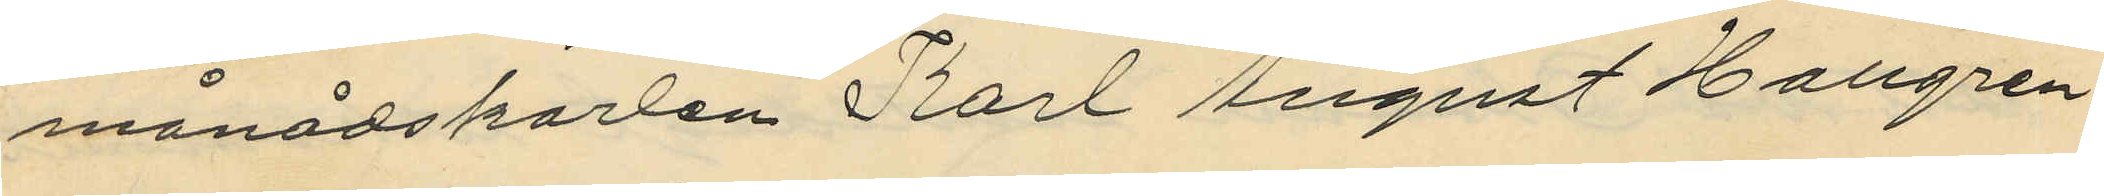månadskarlen Karl August Hallgren,
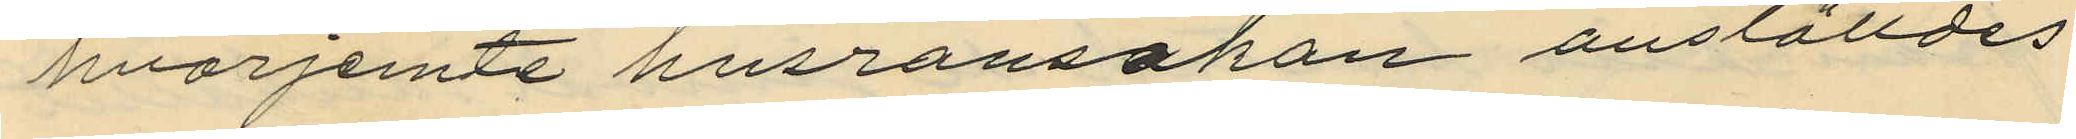hvarjemte husransakan anställdes
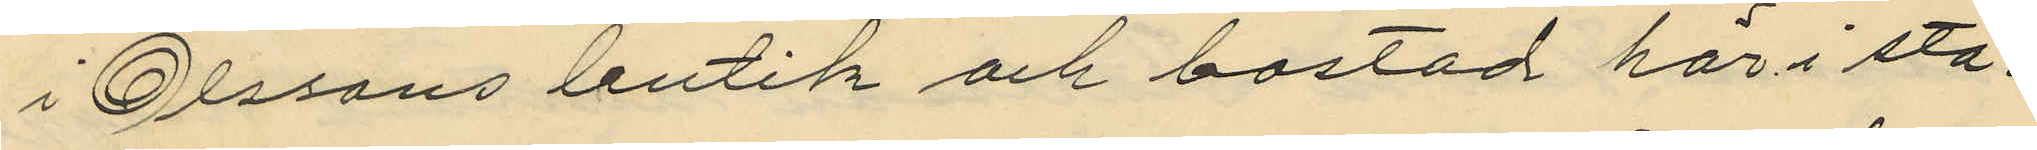i Olssons butik och bostad här i sta¬
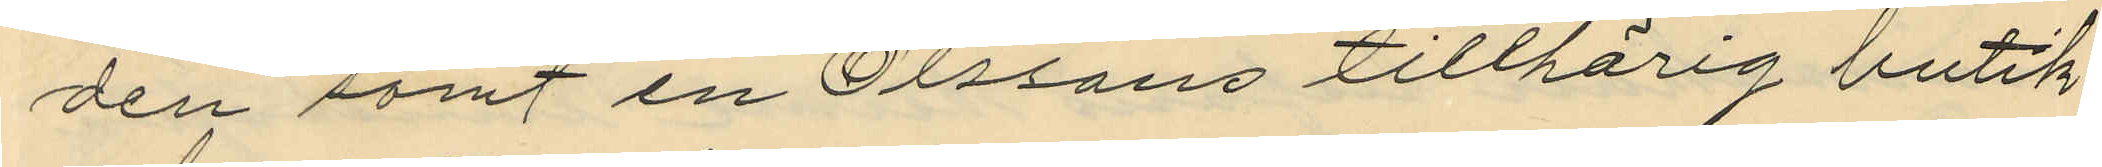den samt en Olssons tillhörig butik
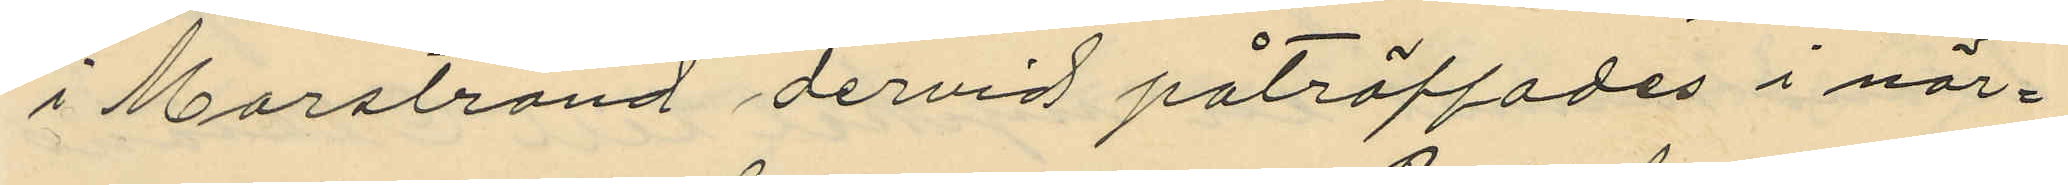i Marstrand dervid påträffades i när¬
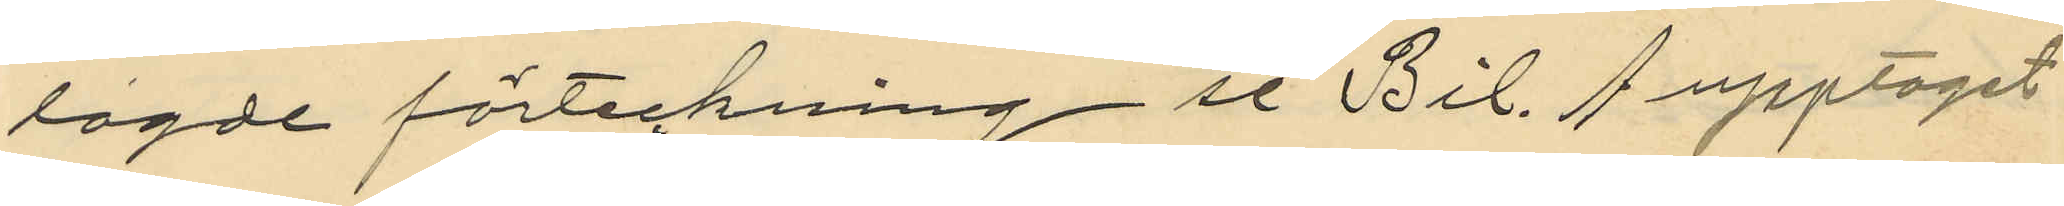lagde förteckning se Bil. A upptaget
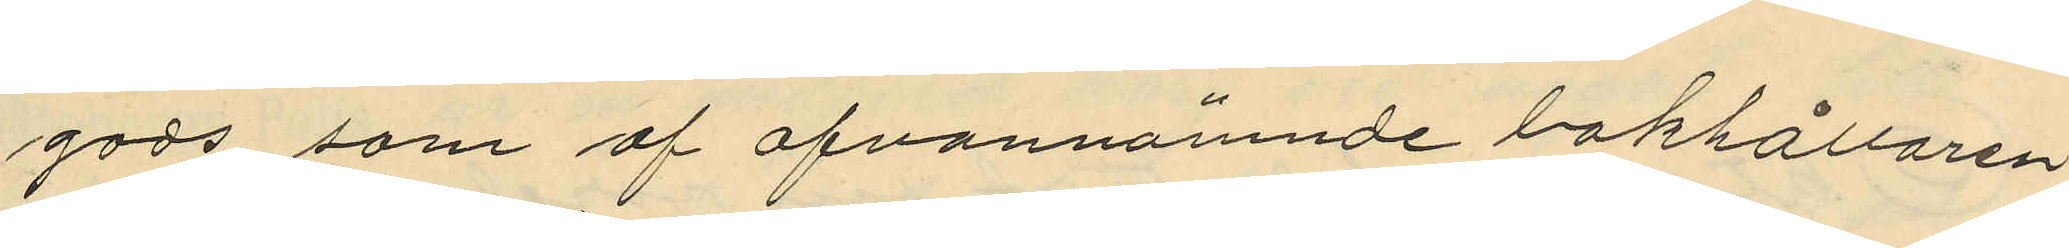gods som af ofvannämnde bokhållaren
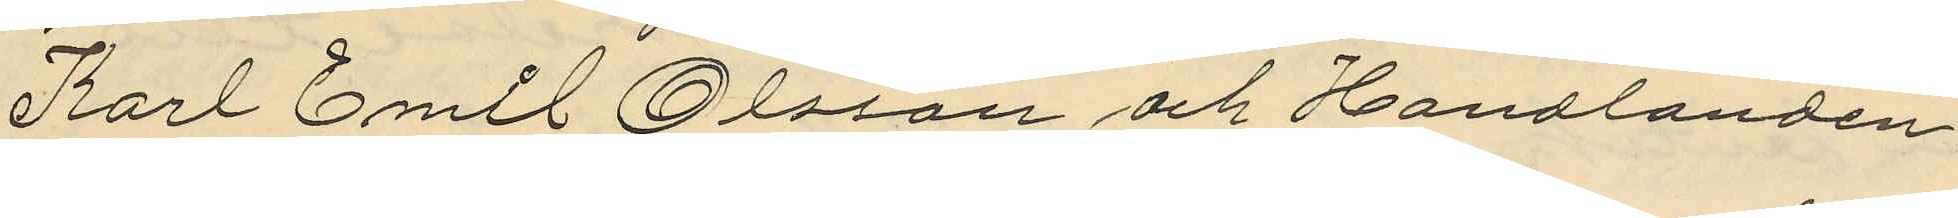Karl Emil Olsson och Handlanden
